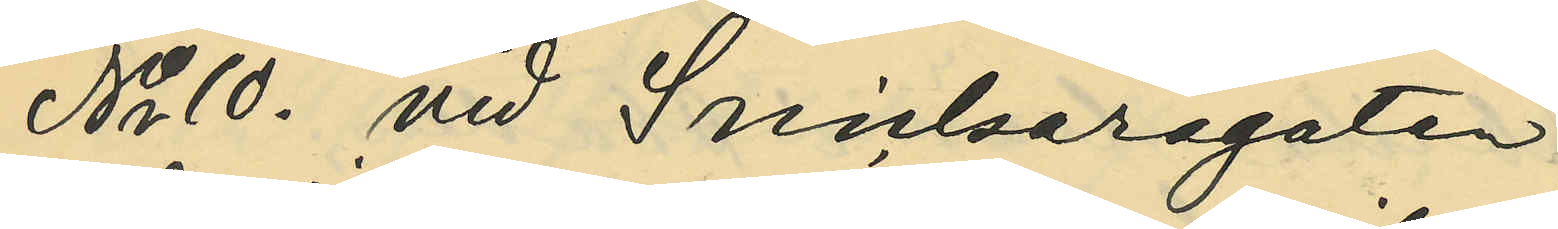No 10. vid Snickaregatan;
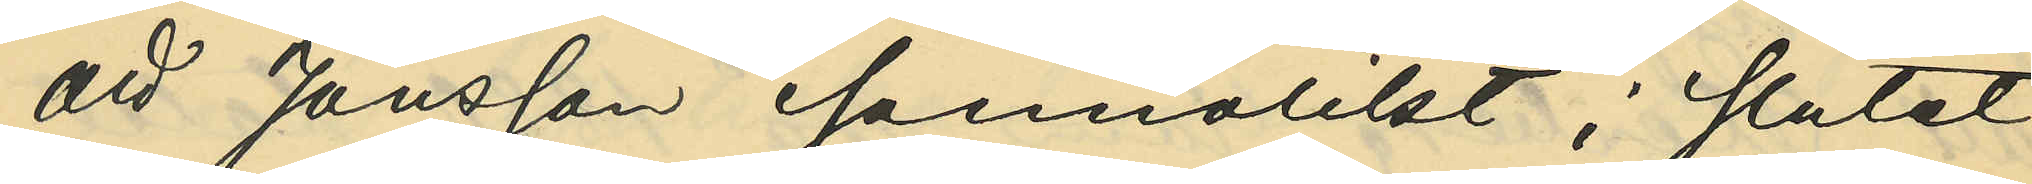att Jönsson sannolikt i slutet
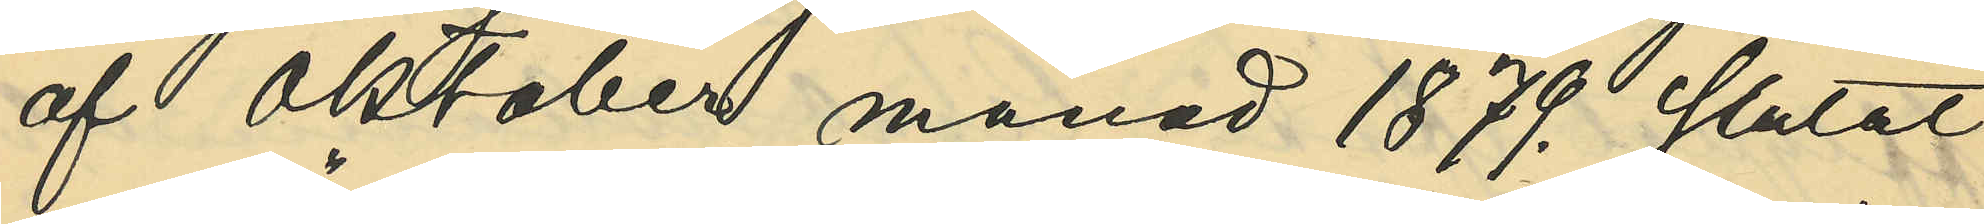af Oktober månad 1879. slutat
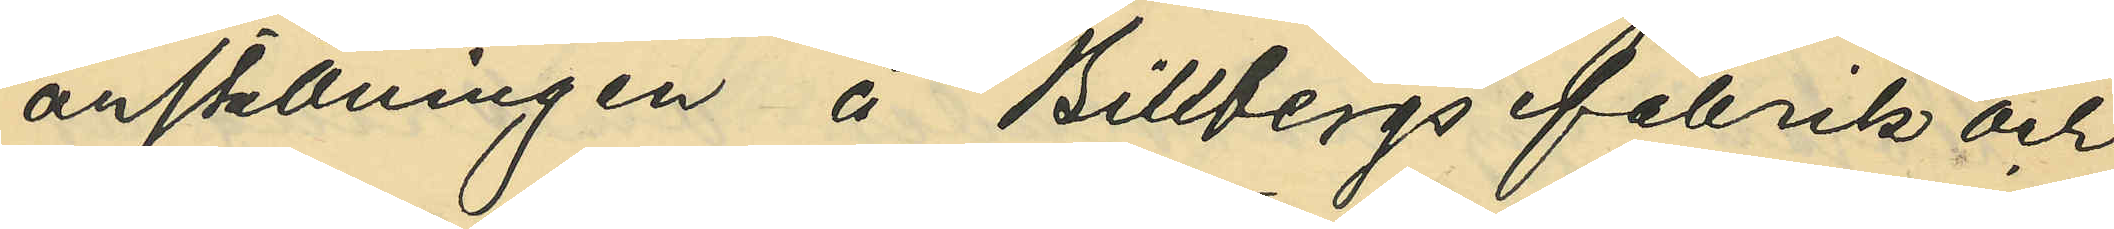anställningen å Billbergs fabrik och
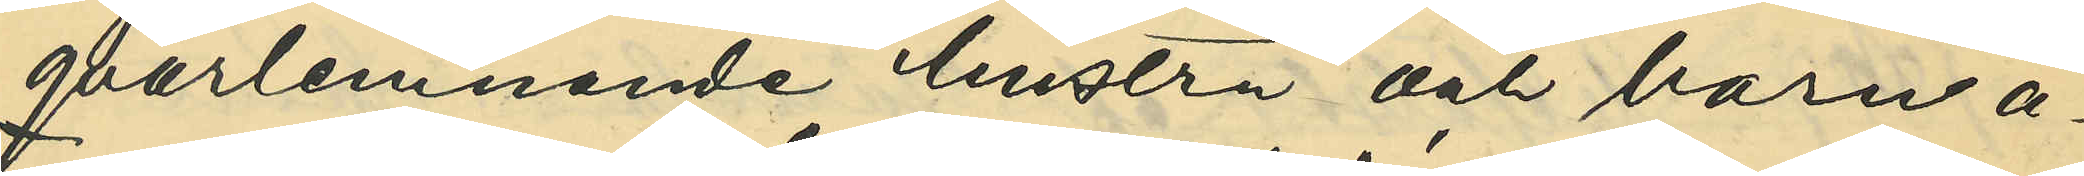qvarlemnande hustru och barn å¬
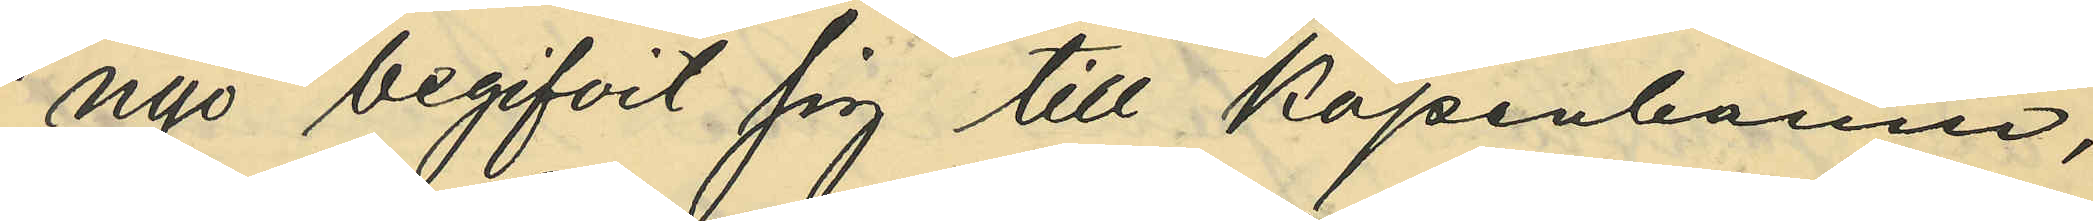nyo begifvit sig till Köpenhamn,
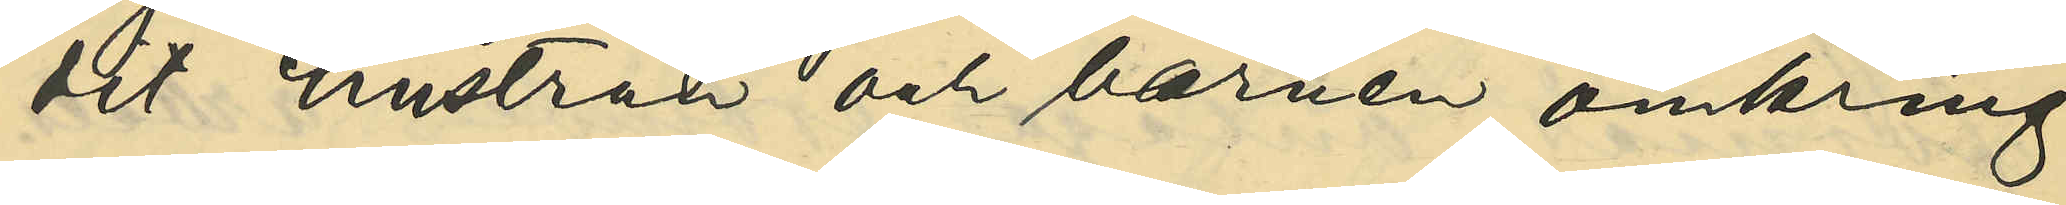dit hustrun och barnen omkring
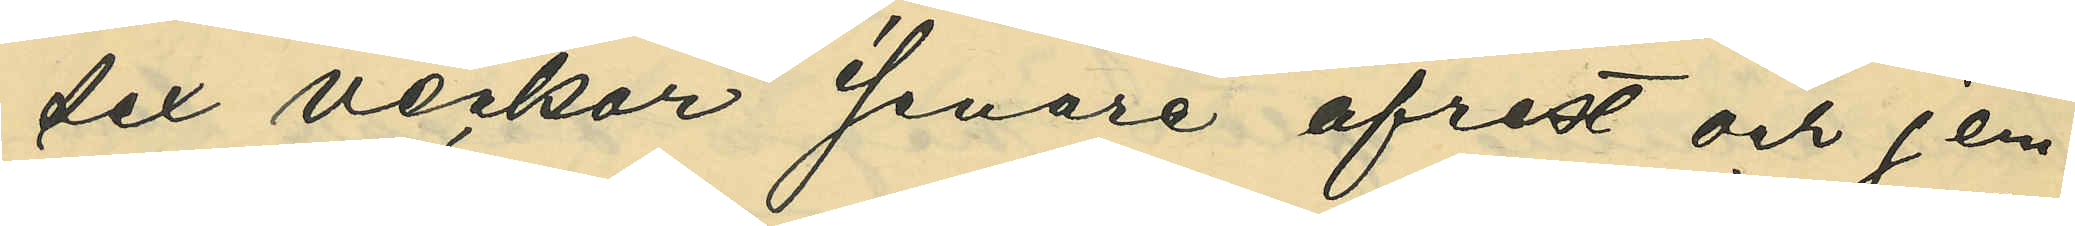sex veckor senare afrest och jem¬
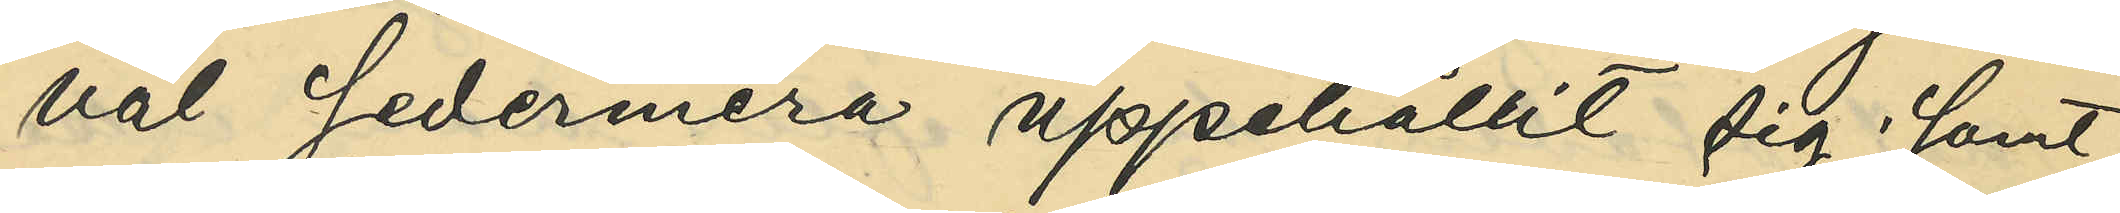väl sedermera uppehållit sig; samt
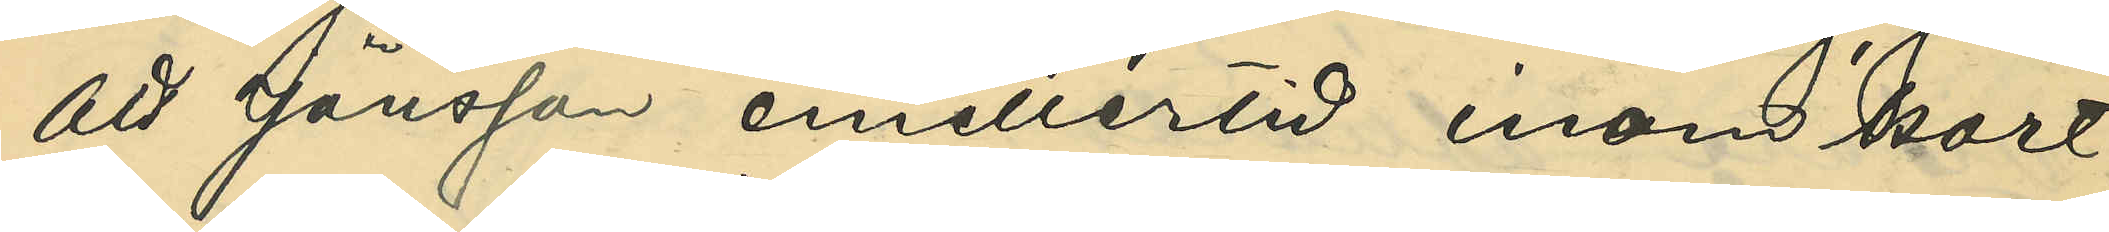att Jönsson emellertid inom kort
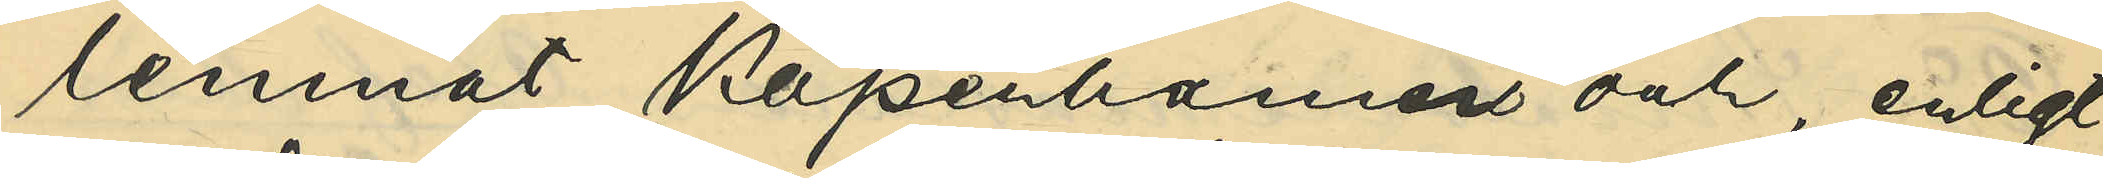lemnat Köpenhamn och, enligt
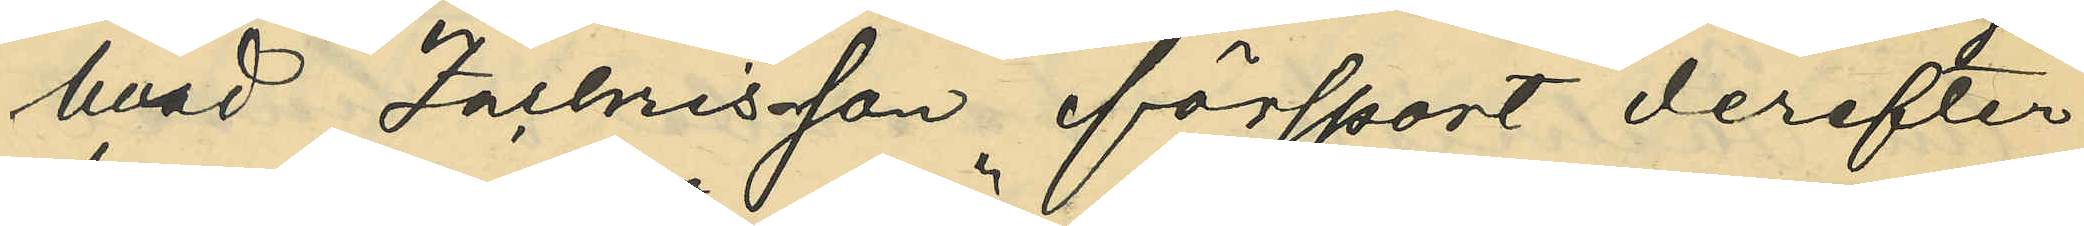hvad Zachrisson försport derefter
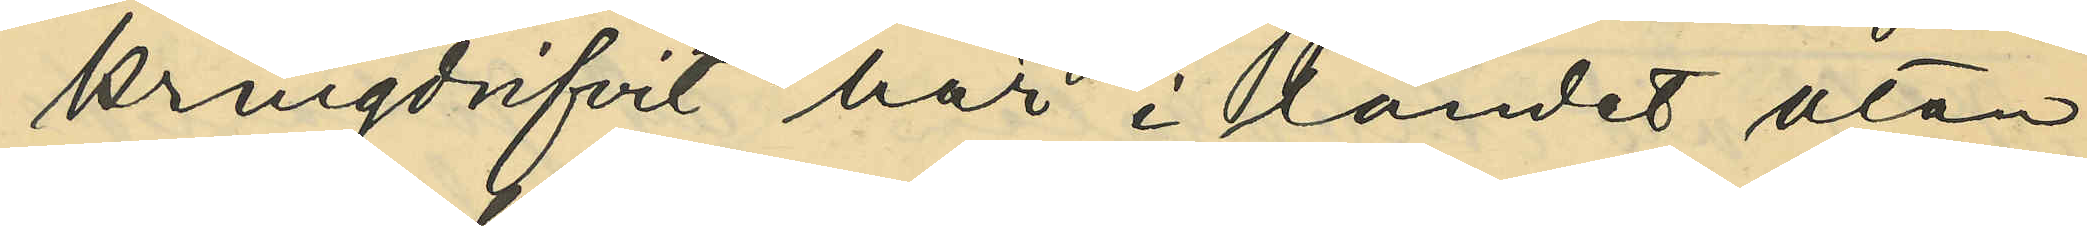kringdrifvit här i landet utan
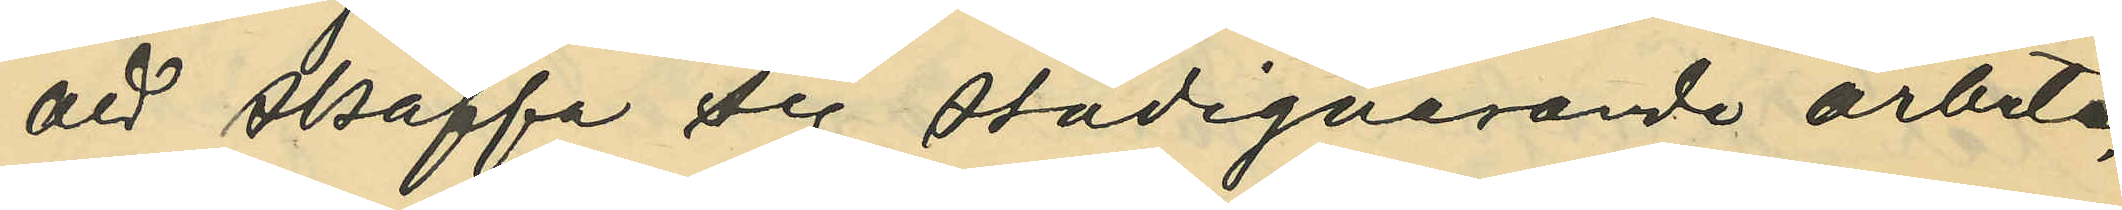att skaffa sig stadigvarande arbete,
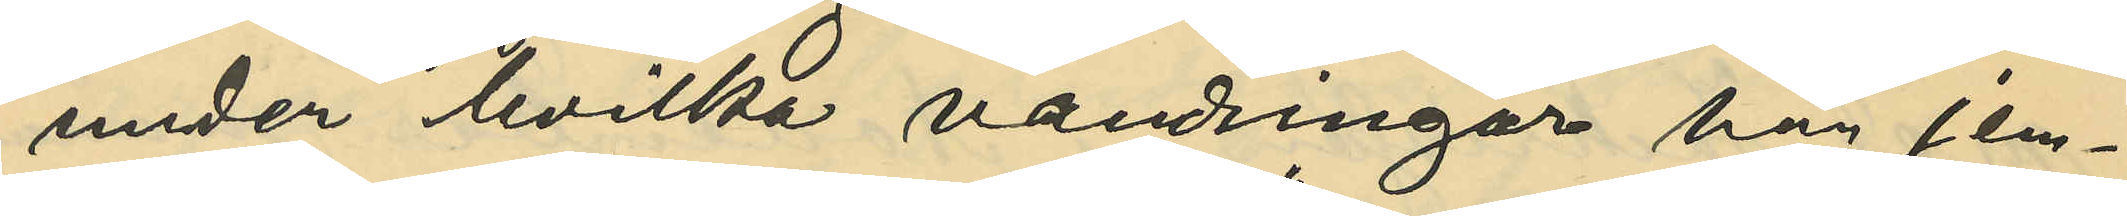under hvilka vandringar han jem¬
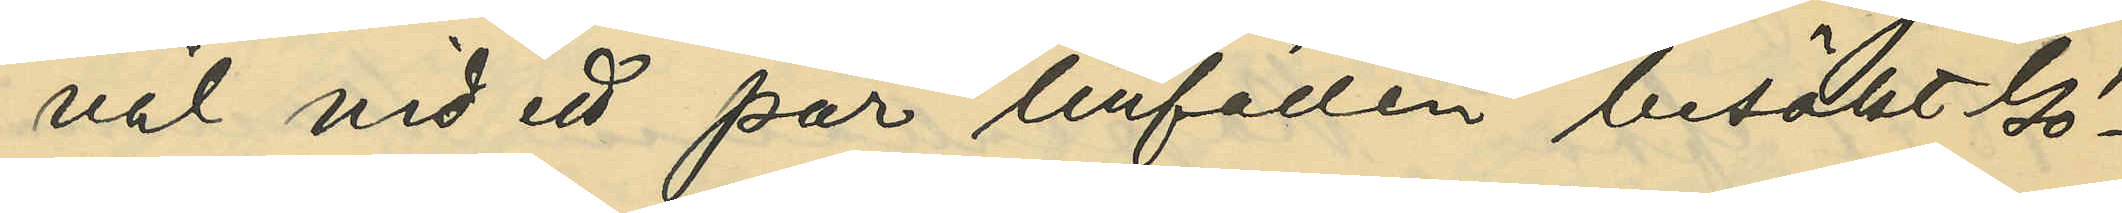väl vid ett par tillfällen besökt Gö¬
